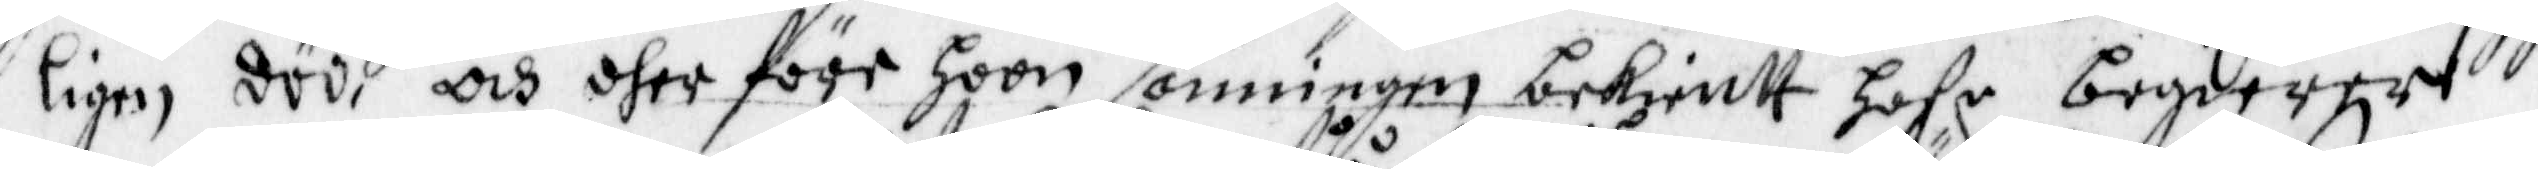ligen döö, och dher före hoon sanningen bekientt hafr begiärer
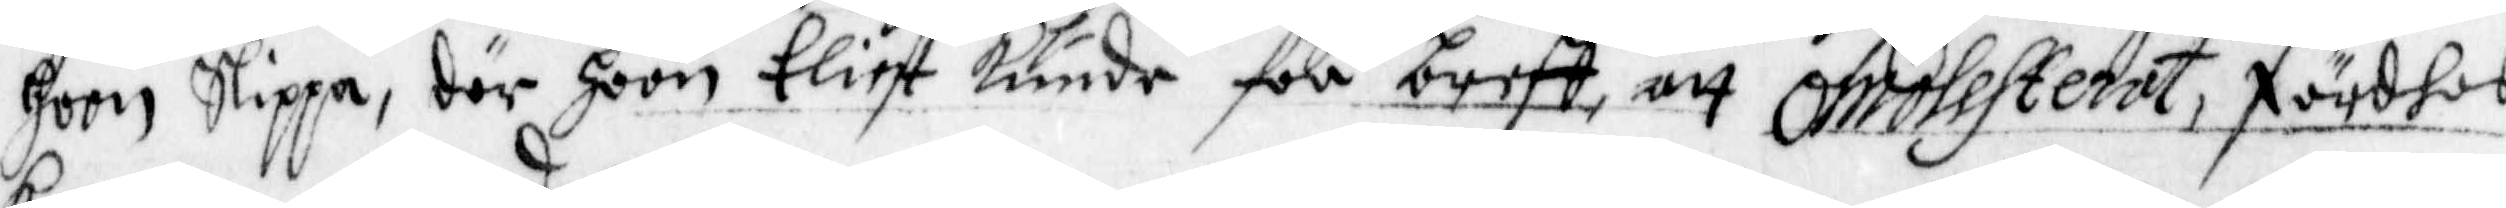hoon Slippa, där hoon Eliest kunde fåå breff, att omolesterat, färdhes
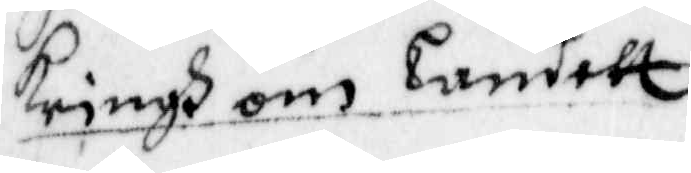kringh om Landet,
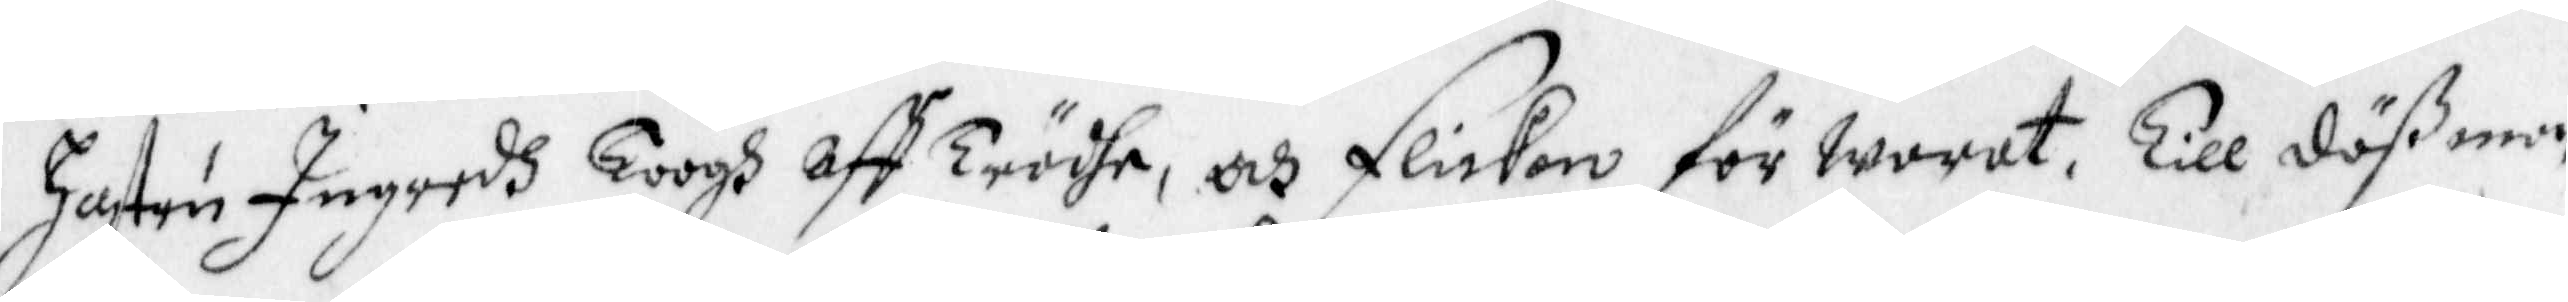hustru Ingredh Toogh aff Trädhe, och flickan förwarat, Till däß man
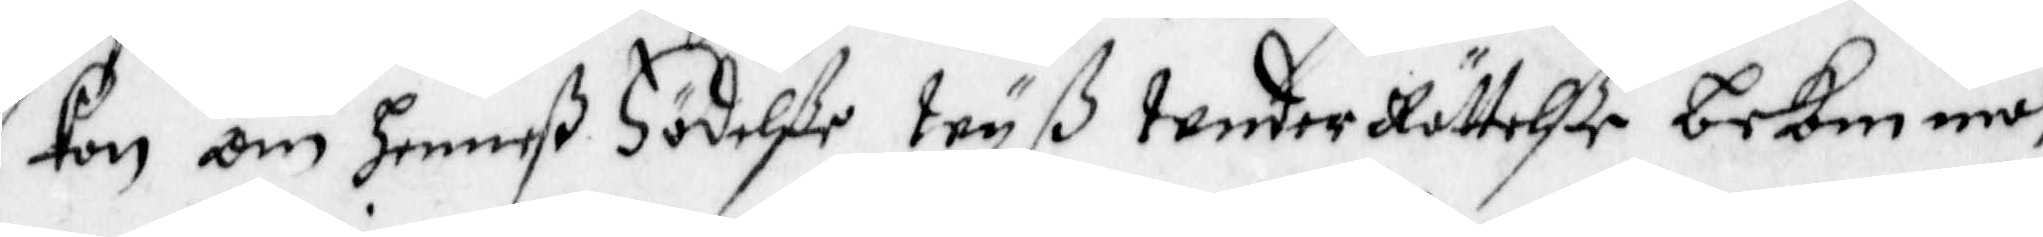kan om hennes Födelße wyß under Rättelße bekomma,
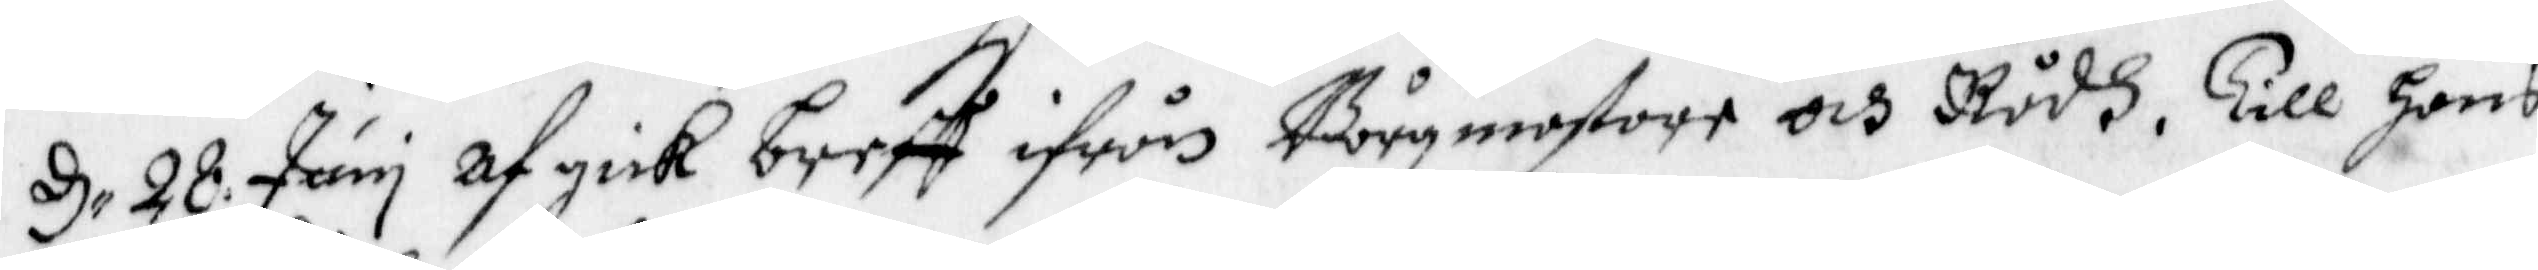d 28 Juny af gick breff ifrån Bårgmestare och Rådh, till hans
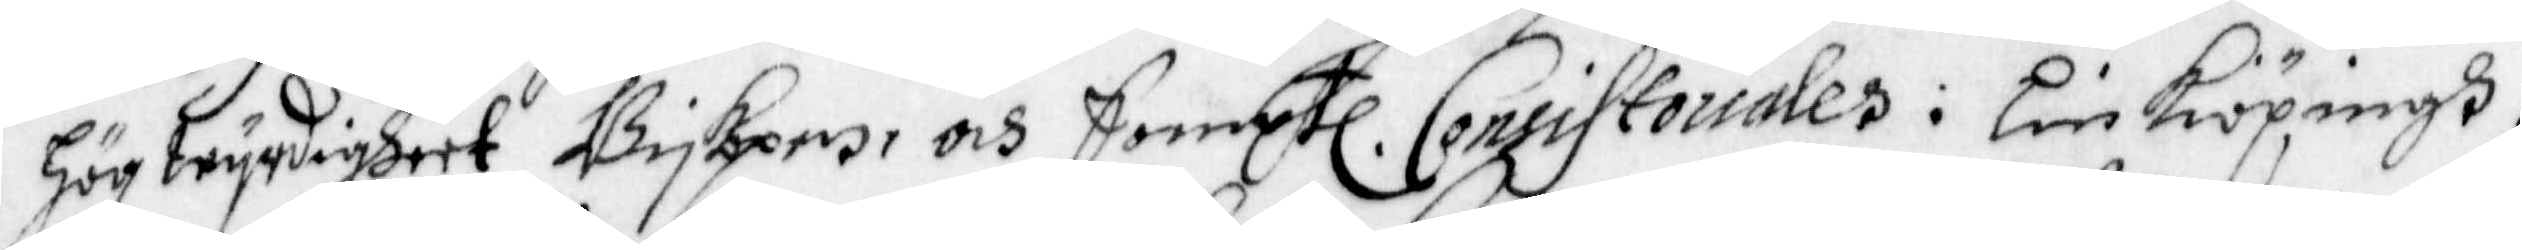Högwyrdigheet Biskopen, och Samptl. Comissoriales i LinKiöpingh,
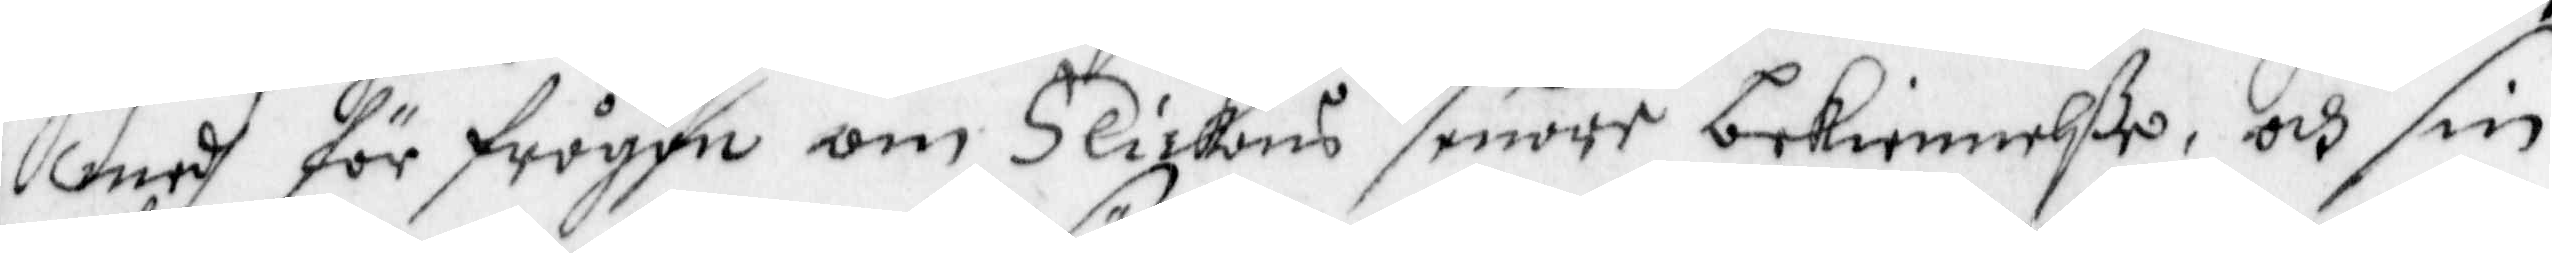medh för frågan om Flickans senare bekiennelße, och sin
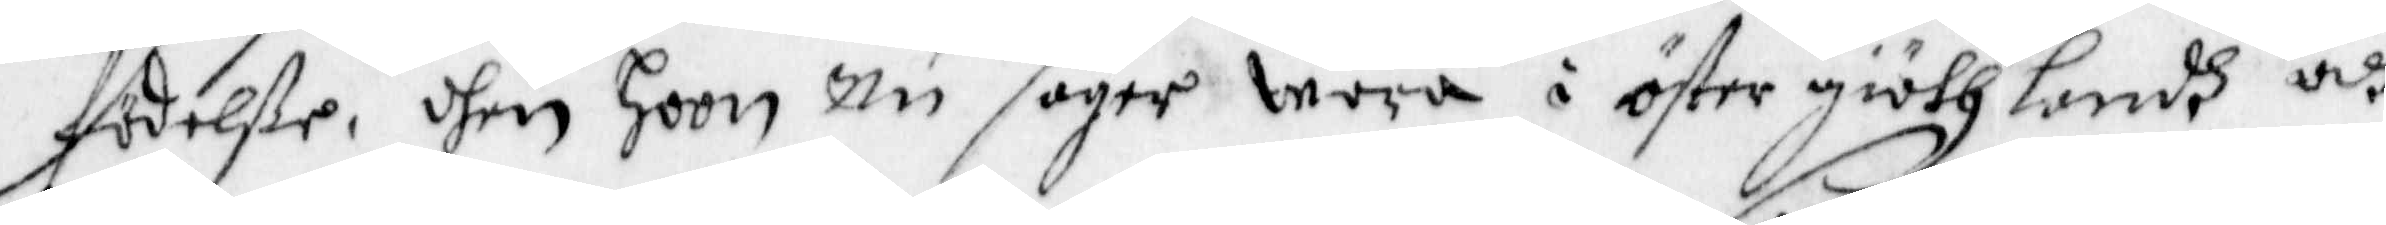födelße, dhen hoon nu säger woro i öster giöthlandh, och
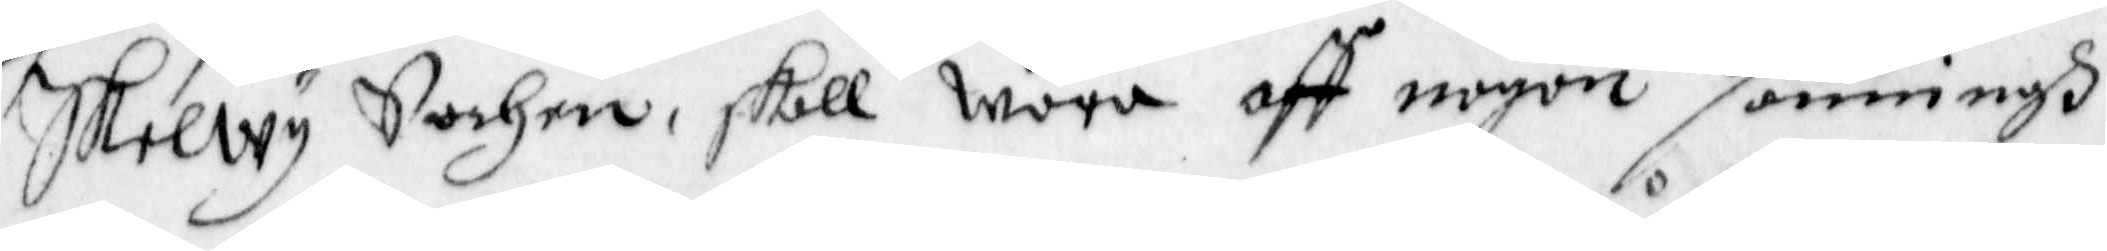Skelwy Sochen, skall wore aff någon sanningh,
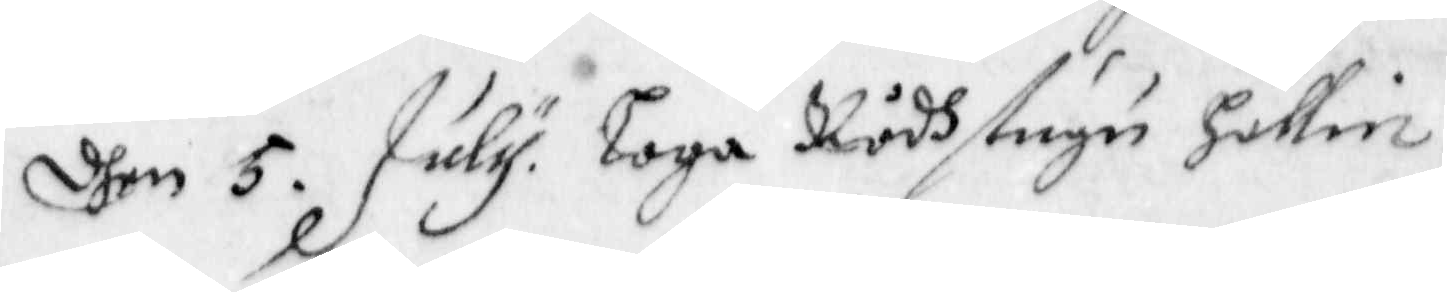dhen 5 July Laga Rådhstugu Hållin
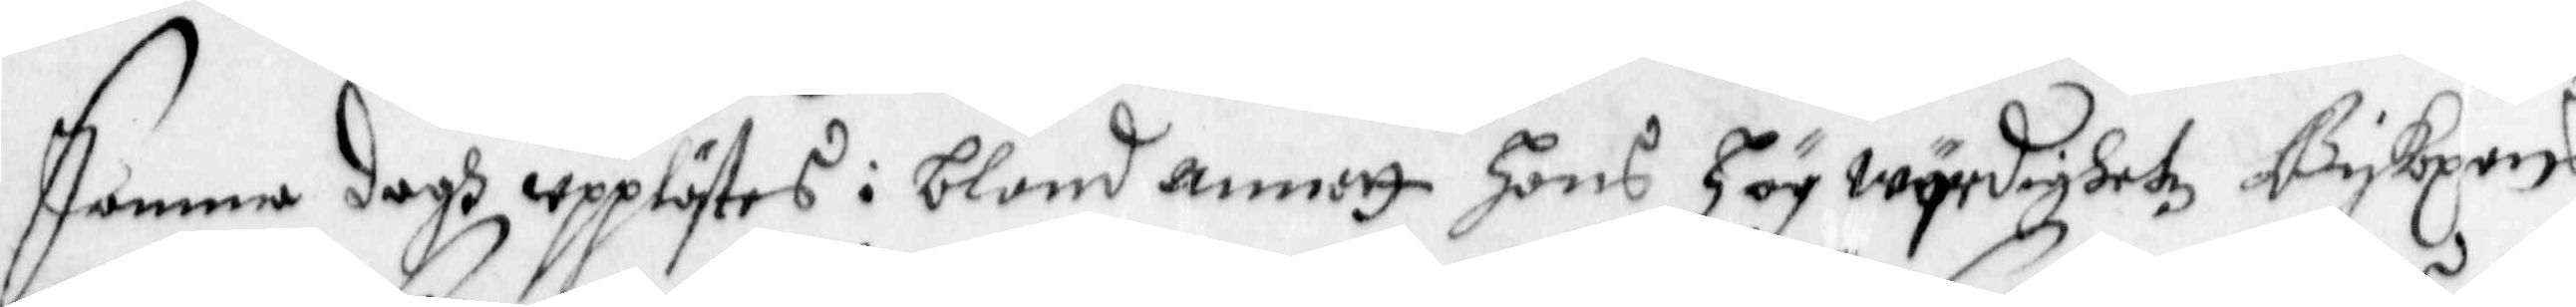Samma dagh upplästes i bland annat hans Högwyrdighetz Biskopens
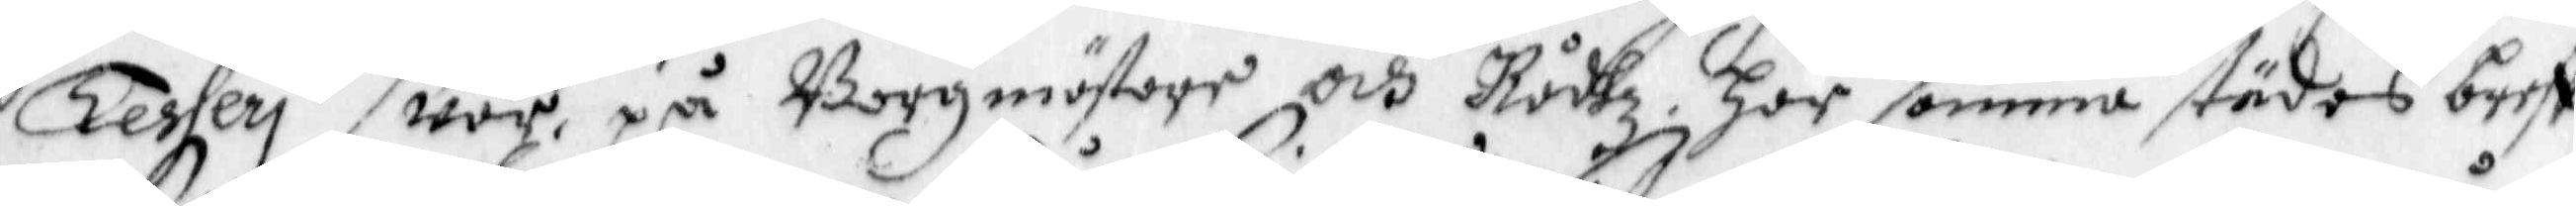Tesheri swar, på Borgmästare och Rådhz här samma städes breff
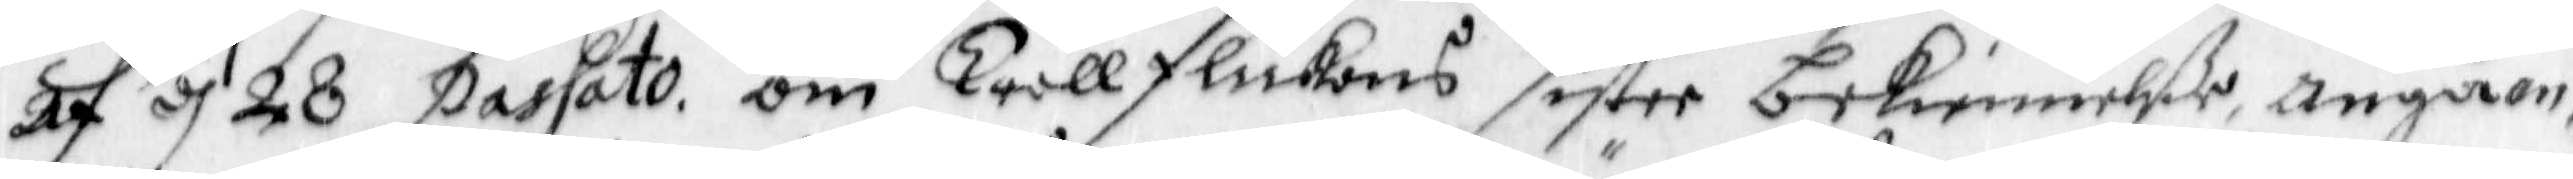af d 28 passato om Trållflickans sistee bekiennelße, angåen¬
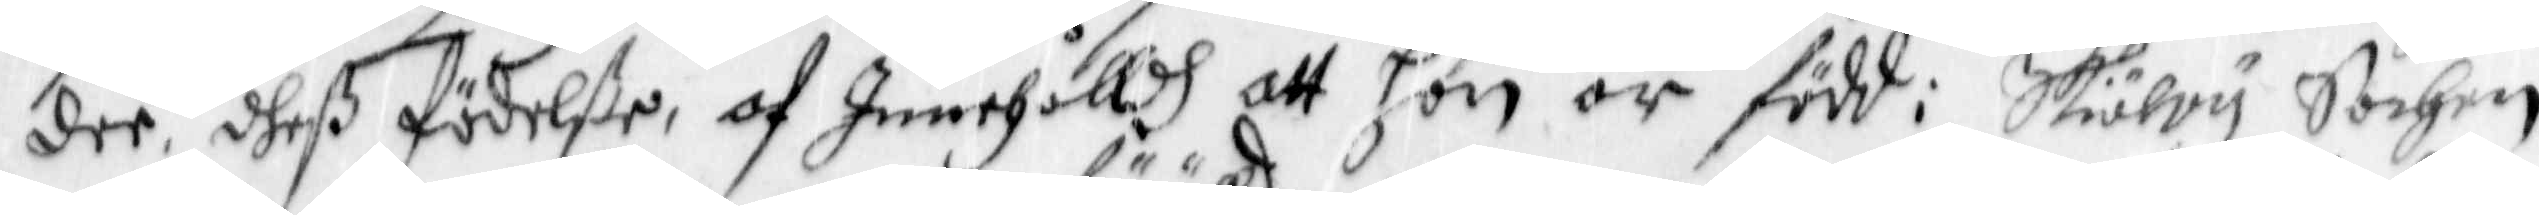dee dheß födelße, af Innehålldh att hon är född, Skiälvy Sochen
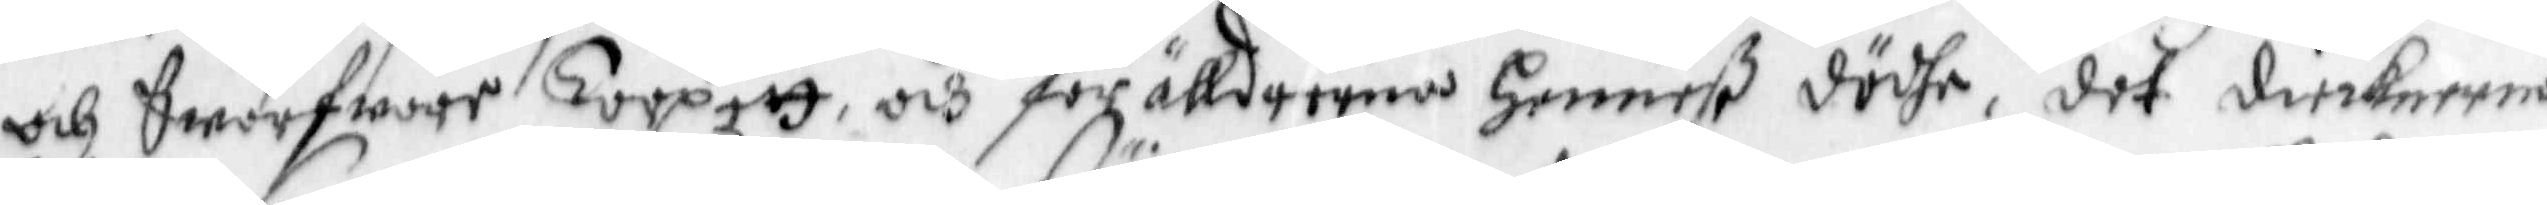och Swarfware torpett, och förälldrarna Henneß dödhe, det diecknerne
